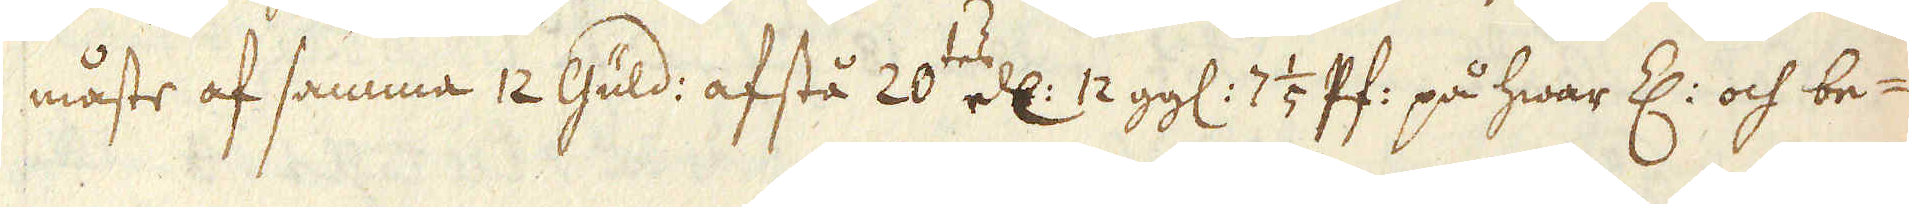måste af samma 12 Guld: afstå 20 ell: 12 gg: 7 1/5 Pf: på hwar Z: och be-
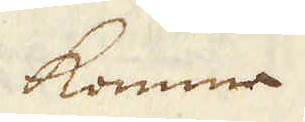komme
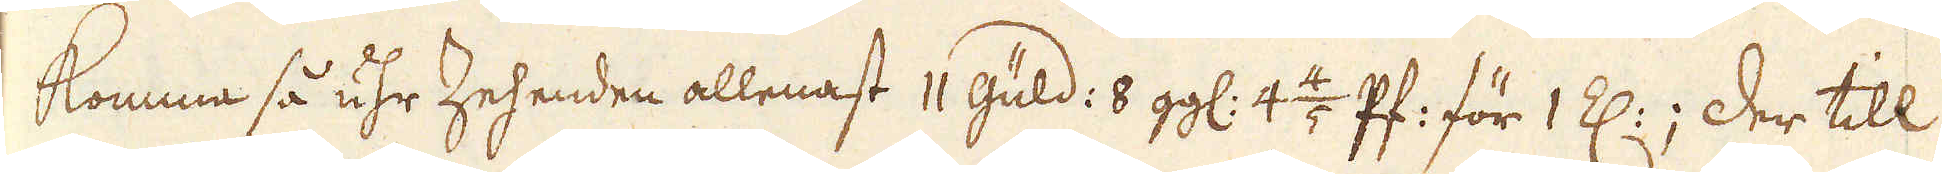komma så uhr Zehenden allenast 11 güld: 8 gg: 4 4/2 Pf: för 1 Z:; der till
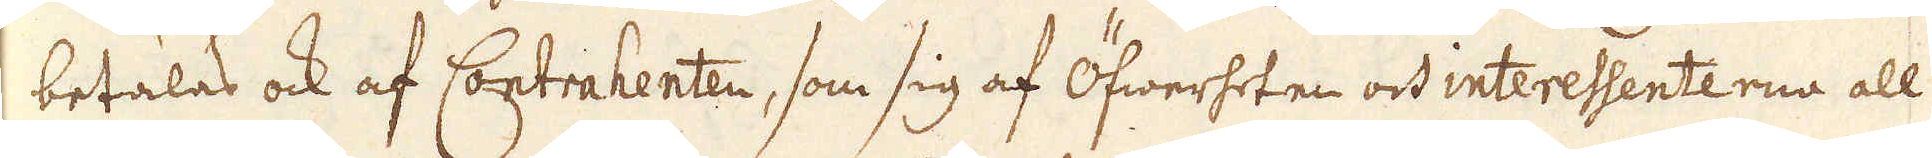betalas ock af Contrahenten, som sig af Öfwerheten och interessenterna all
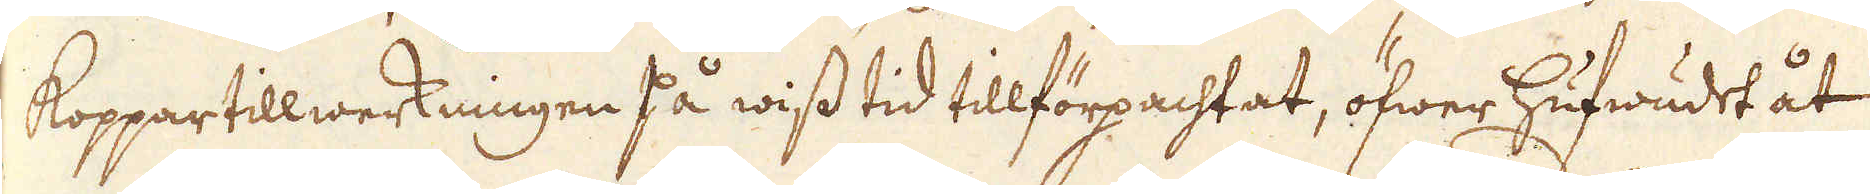Koppartillwerkningen På wiss tid tillförpachtat, öfwer hufwudet åt
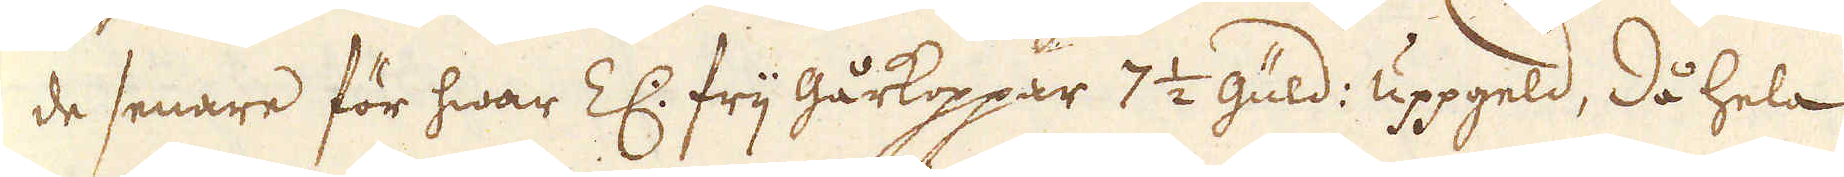de senare för hwar Z: frij gårkoppår 7 1/2 guld: uppgeld, då hela
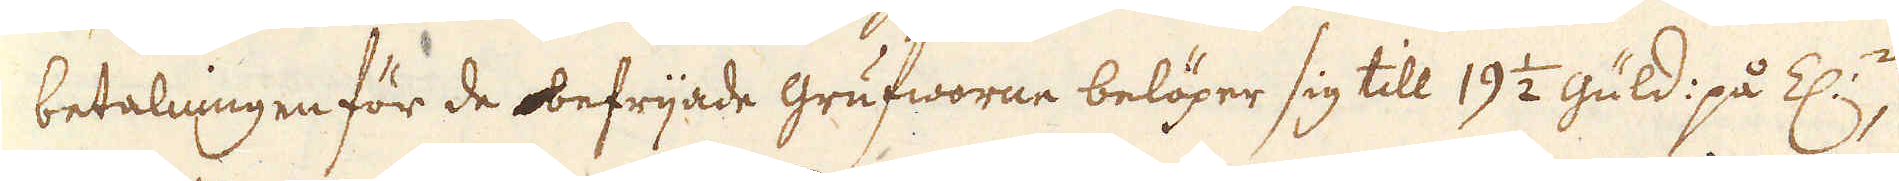betalningen för de obefrijade Grufworne belöper sig till 19 1/2 güld: på Z:n,
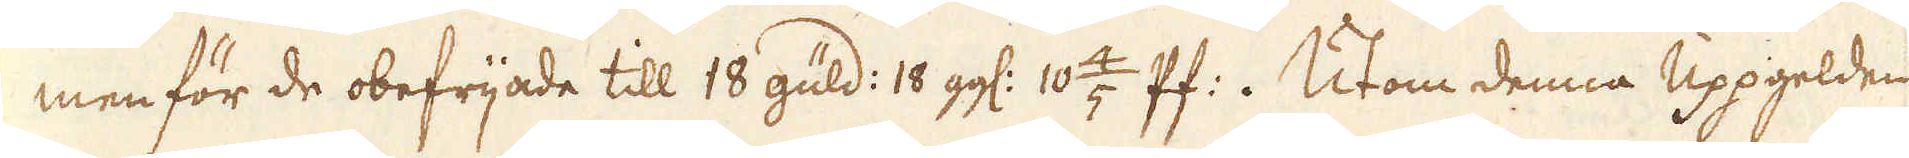men för de obefrijade till 18 güld: 18 gg: 10 4/5 Pf:. Utom denna Uppgelden
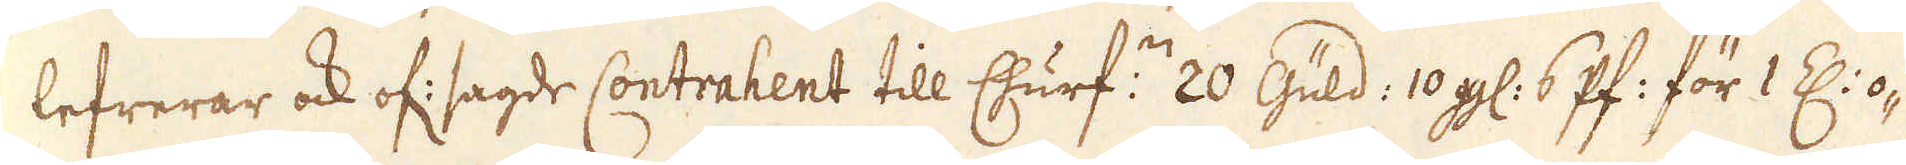lefrerar ock of: sagde Contrahent till Churf:ne 20 Güld: 10 gg: 6 Pf: för 1 Z: o-
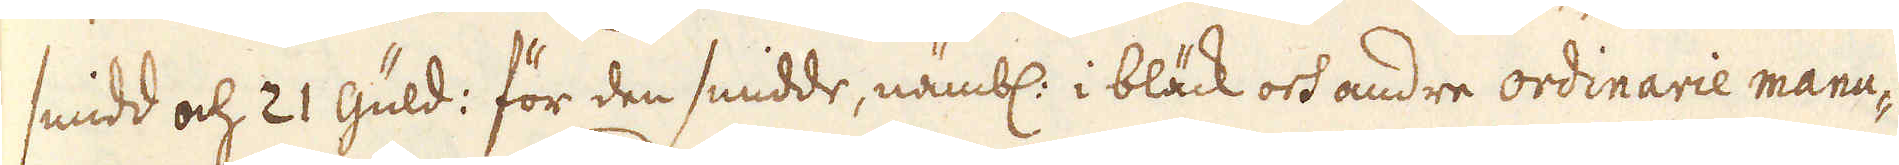smidd och 21 güld: för den smidde, nämbl: i bläck och andre ordinarie manu-
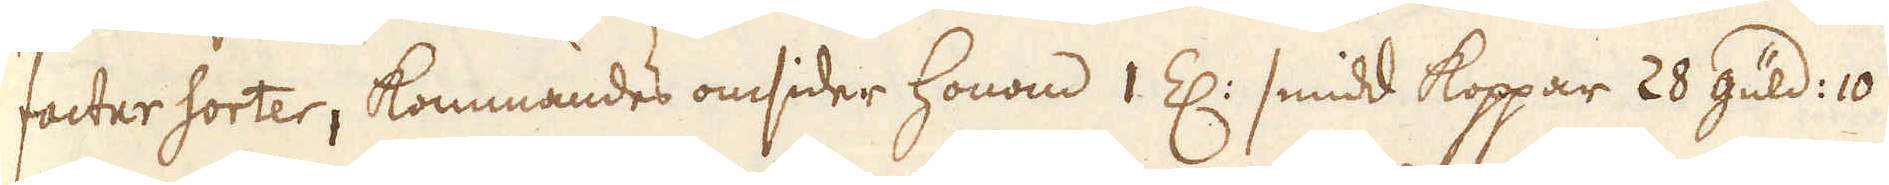factur sorter, kommandes omsider honom 1 Z: smidd koppar 28 güld: 10
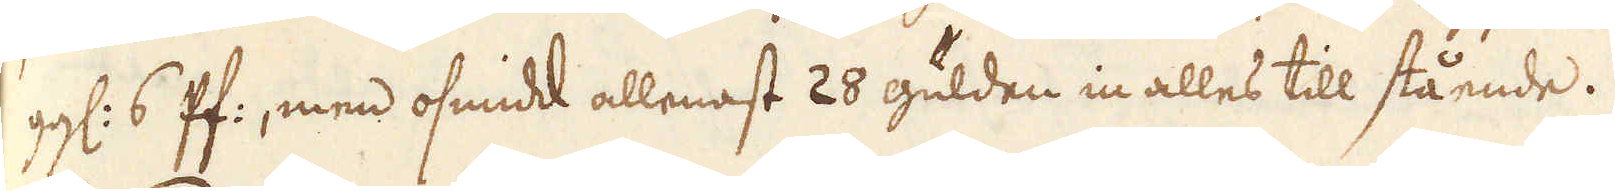gg: 6 Pf:, men osmidt allenast 28 gulden in alles till stående.
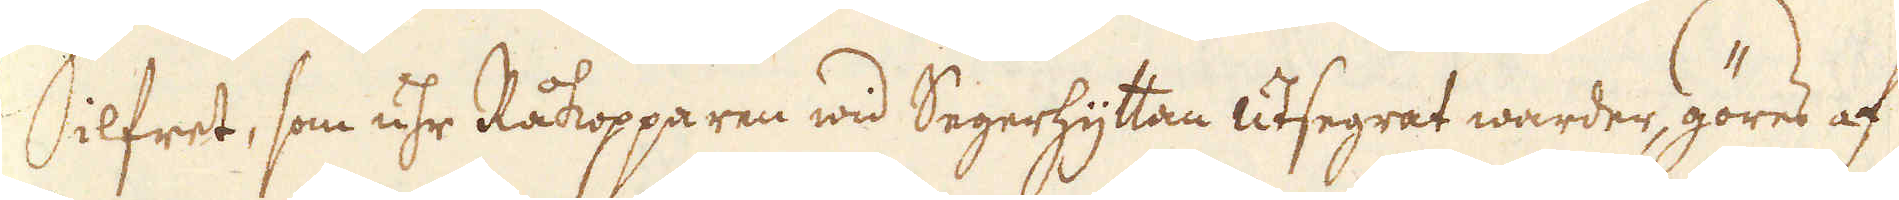Silfret, som uhr Råkopparen wid Segerhyttan utsegrat warder, göres af
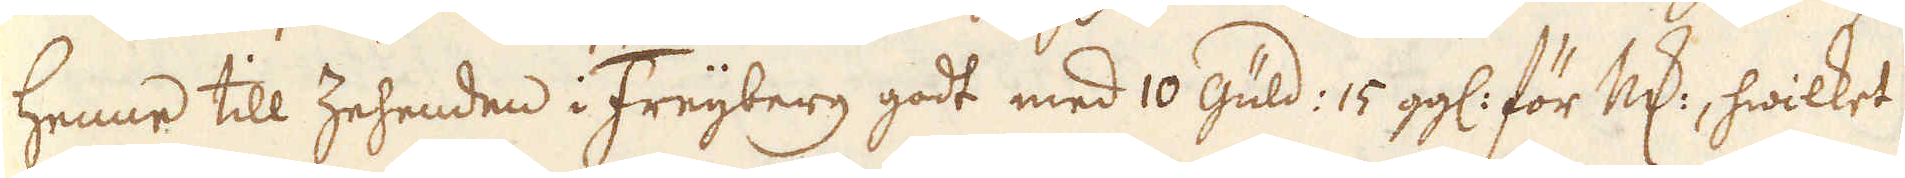henne till Zehenden i Freijberg godt med 10 Güld: 15 gg: för marken, hwilket
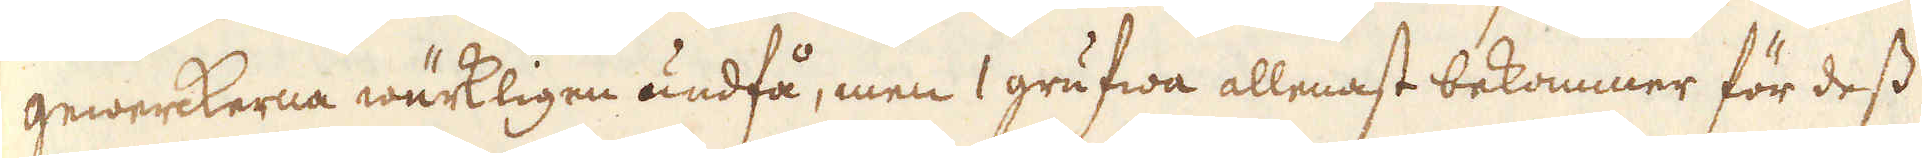gewerckerna wärkligen undfå, men 1 grufwa allenast bekommer för dess
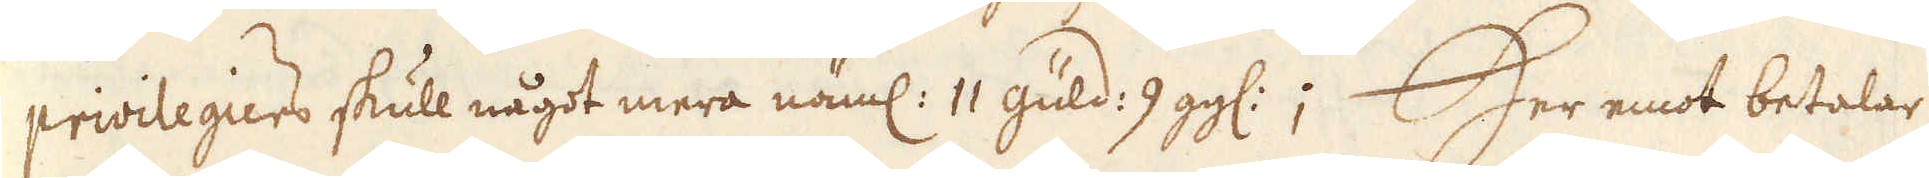privilegiers skull något mera näml: 11 güld: 9 gg:; Her emot betalar
